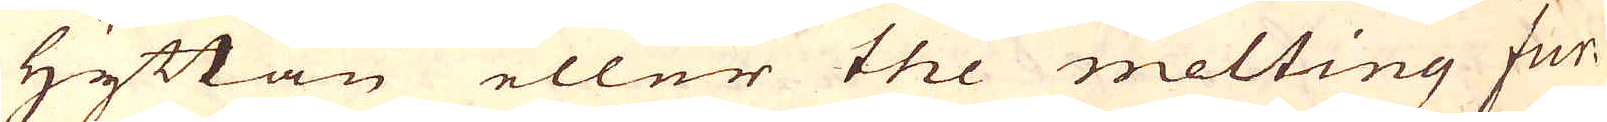hyttan eller the melting fur-
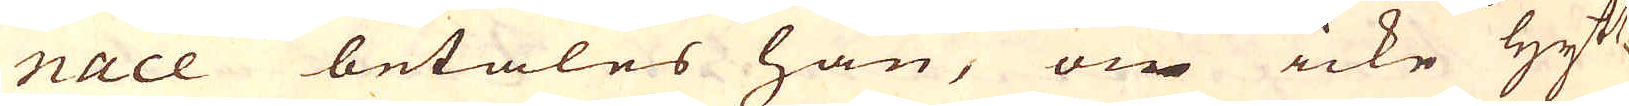nace betales han, om icke Hytt-
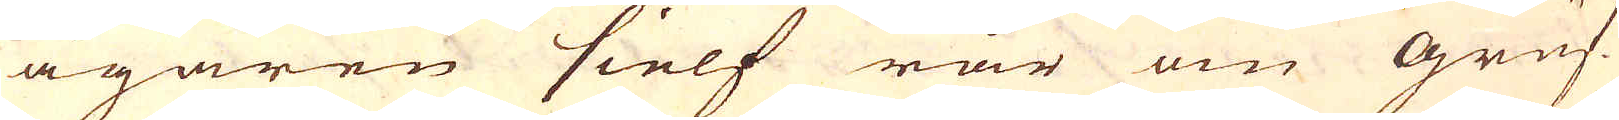ägaren sielf rår om gruf-
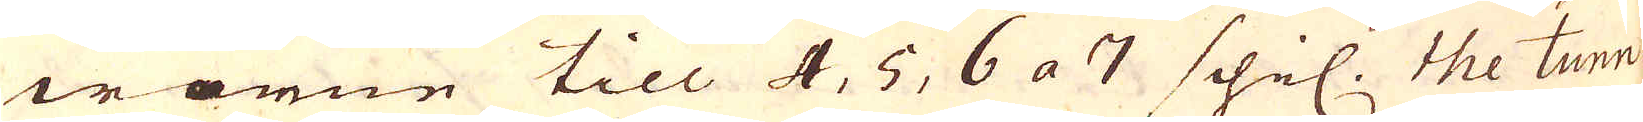worne till 4, 5, 6 a 7 schil. the tunn
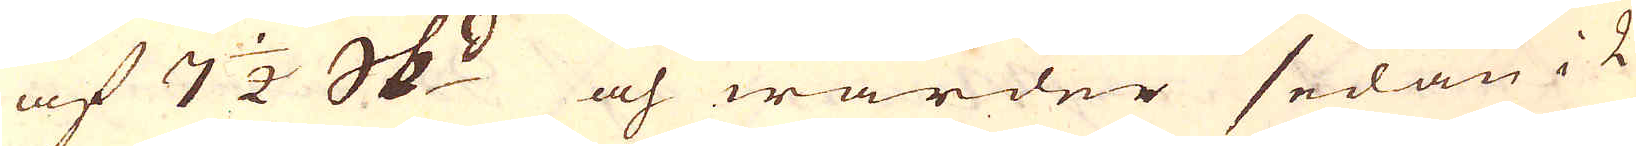af 7 1/2 skeppund och warder sedan i 2
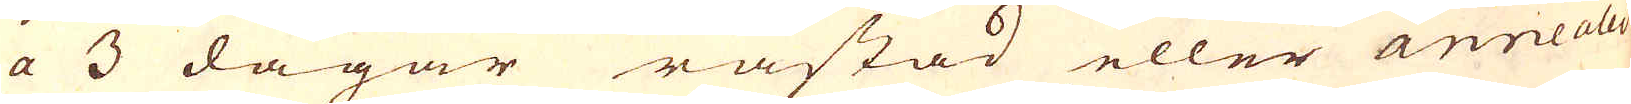a 3 dagar råstad eller annealed
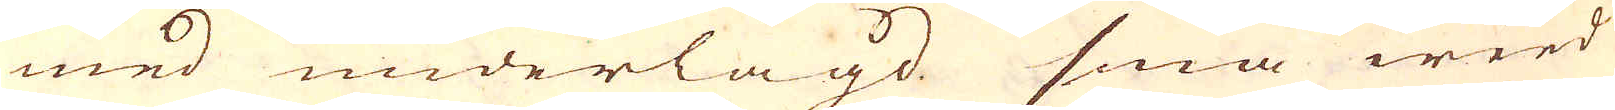med underlagd små weed
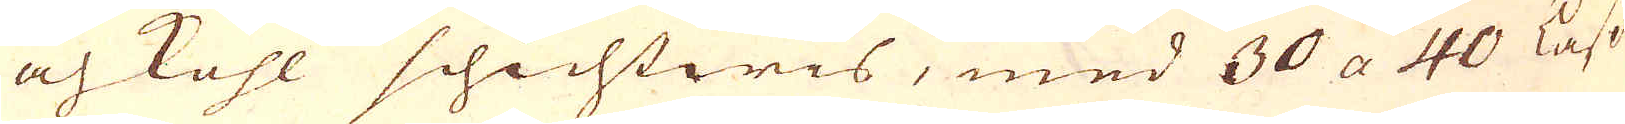och kohl schichtwis, med 30 a 40 Lass
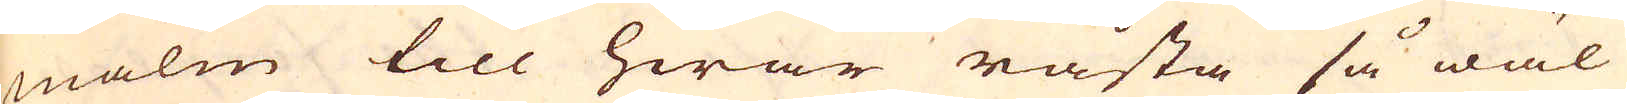malm till hwar råsta så wäl
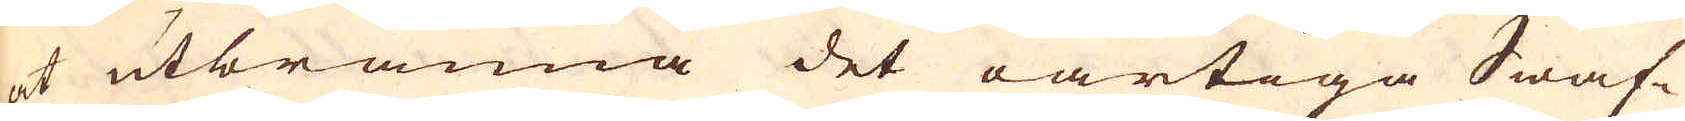at utbränna det oartiga Swaf-
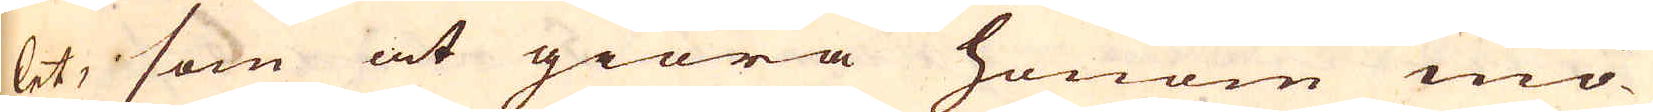let, som at giöra honom mö-
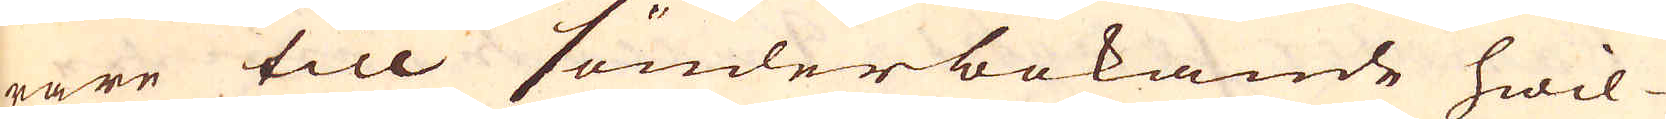rare till sönderbokande hwil-
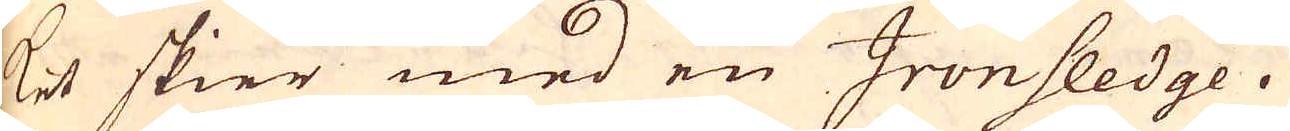ket skier med en Ironsledge.
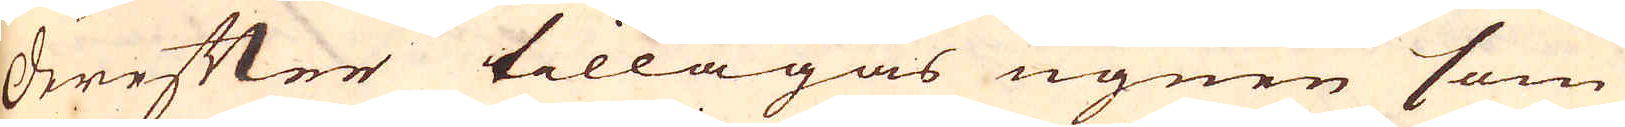Derefter tillagas ugnen som
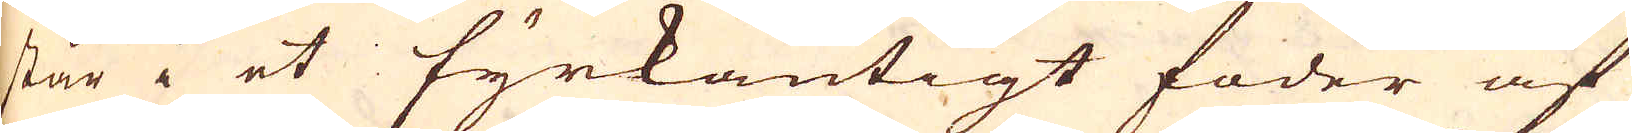står i et fyrkantigt foder af
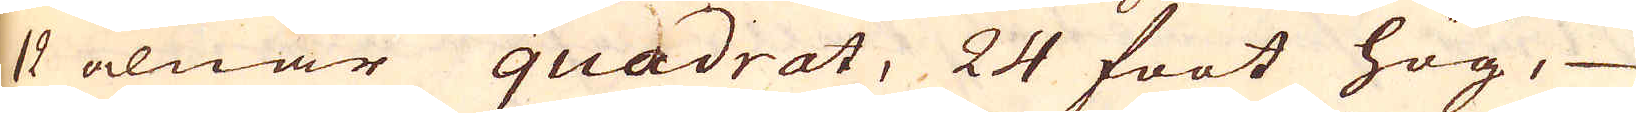12 alnar quadrat, 24 foot hög,
